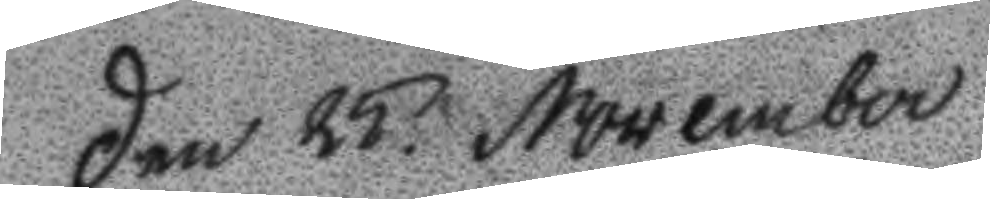Den 25 November
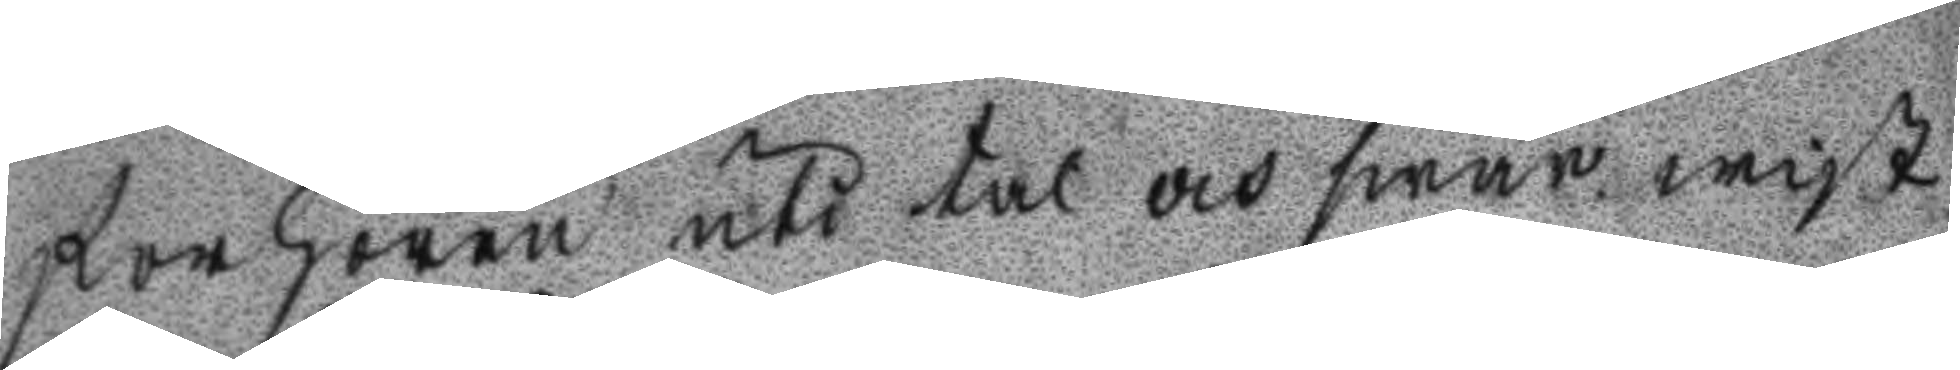förhöra uti tal och swar wist
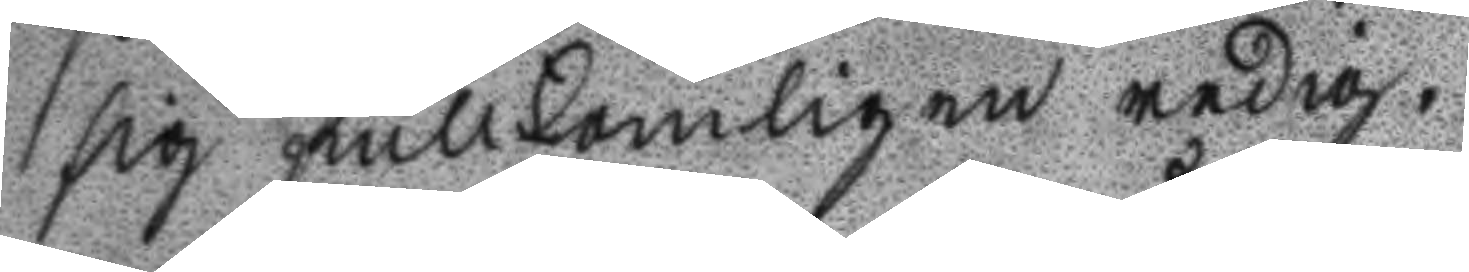sig fullkomligen redig.
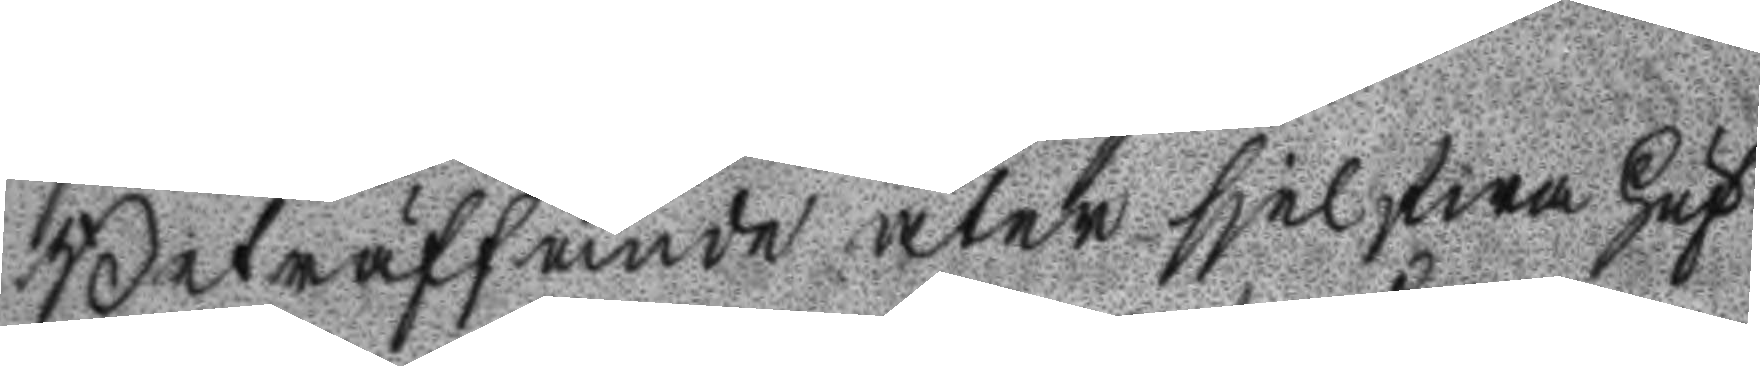Beträffande åter sjelfwa Huf
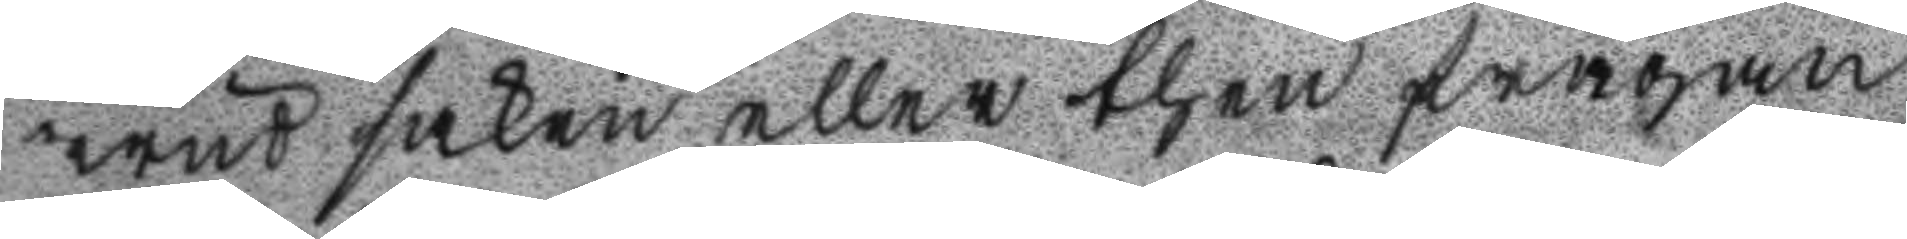wud saken eller then frågan
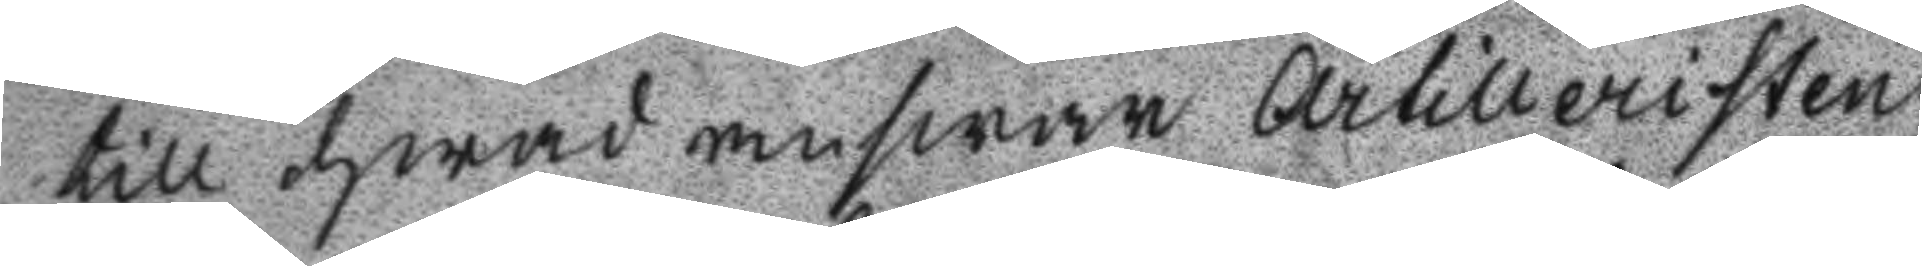till hwad answar Artilleristen
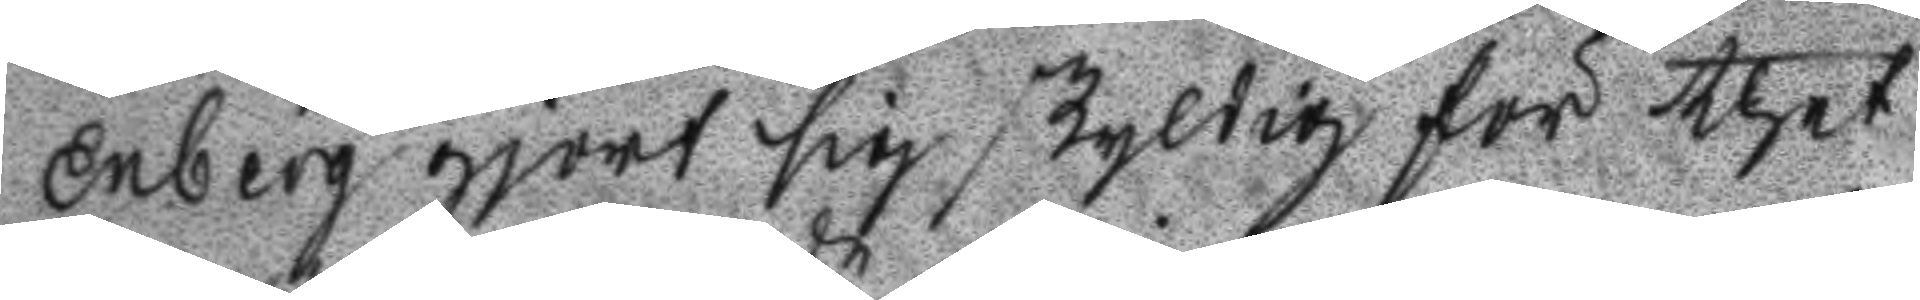Enberg gjort sig skyldig för thet
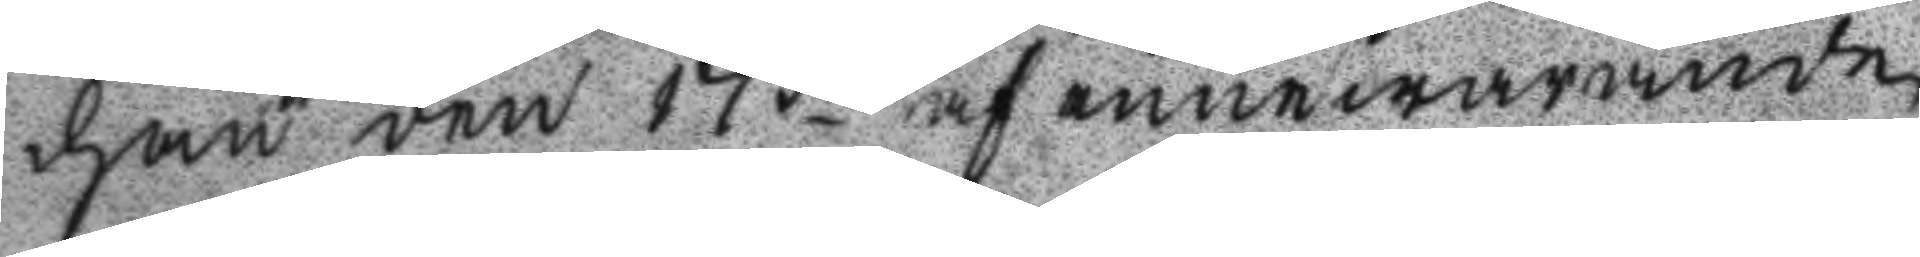han den 17de af innewarande
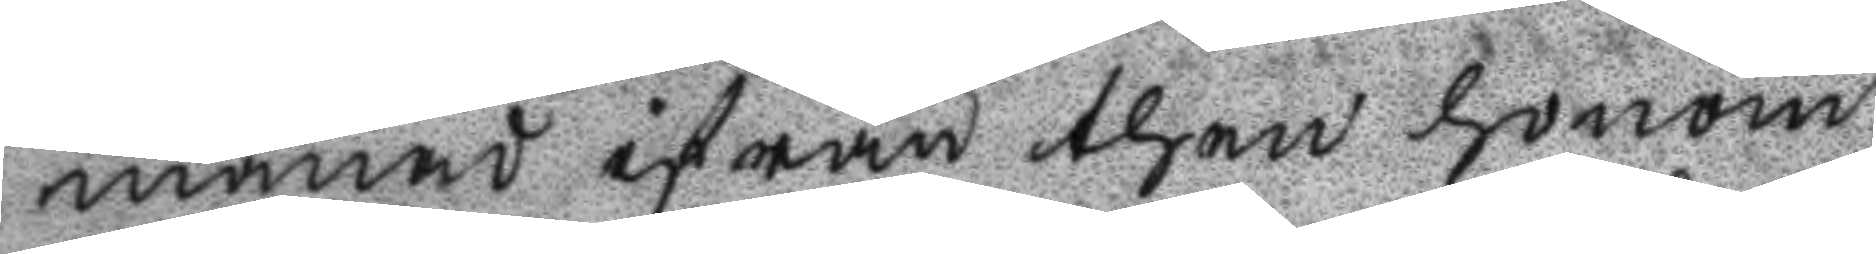månad ifrån then honom
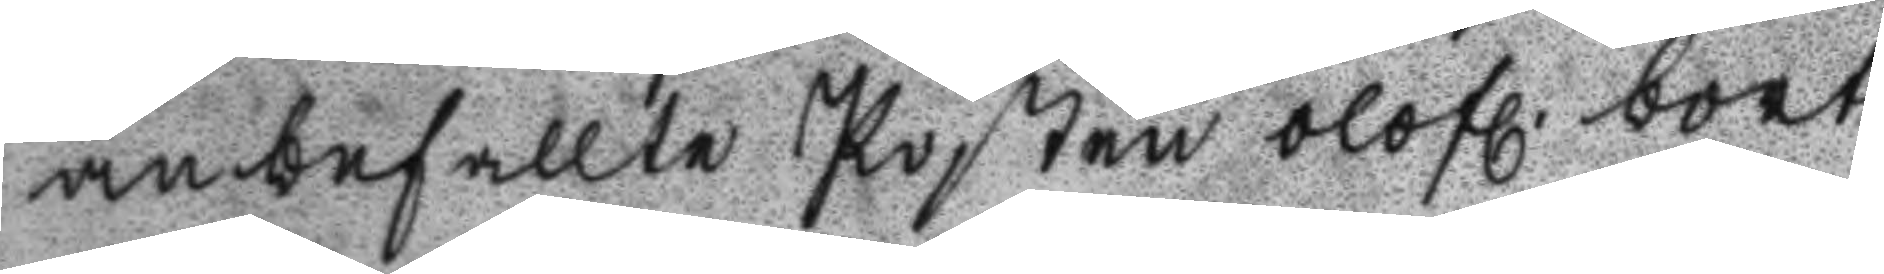anbefallte Posten olofl. bort
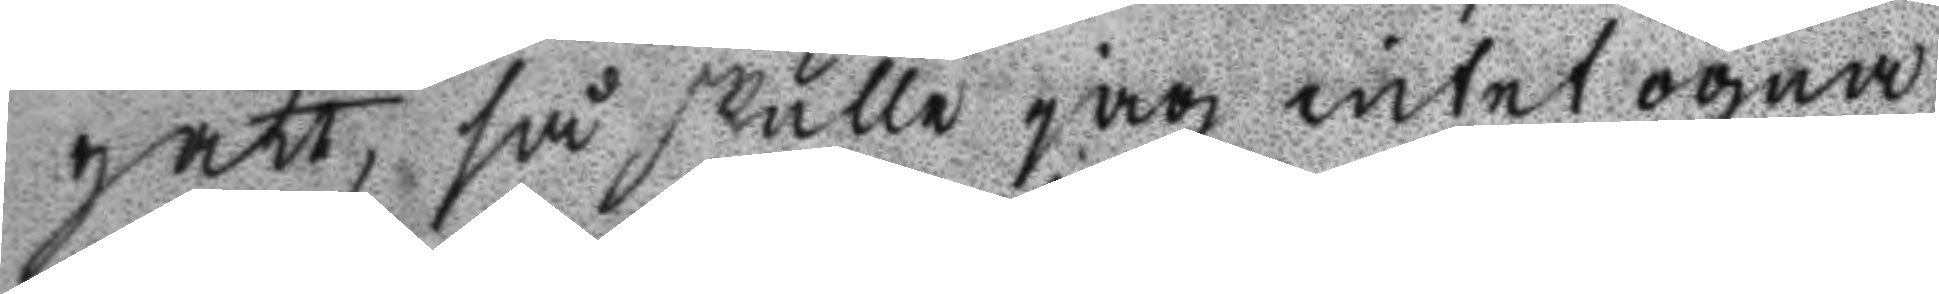gått, så skulle jag intet ögna
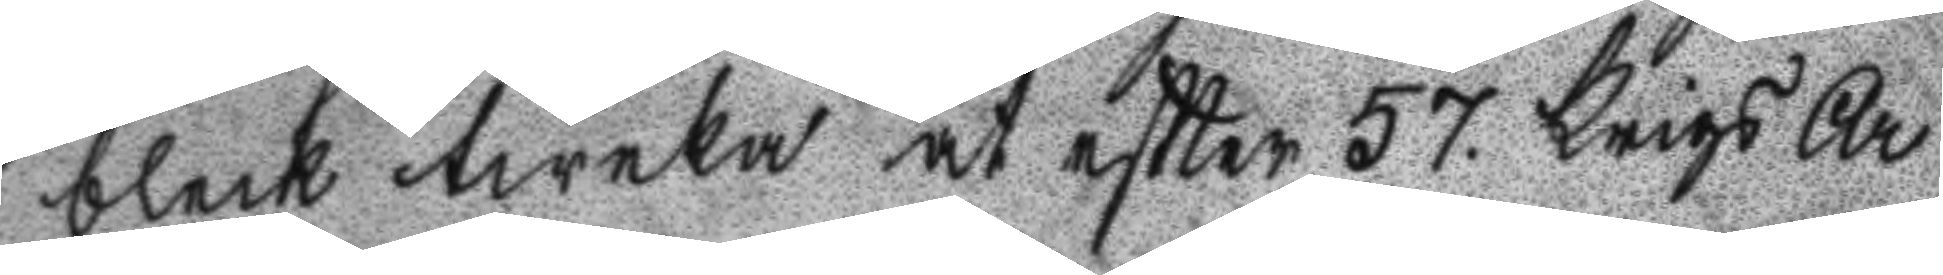bleck tweka at efter 57. krigs Ar
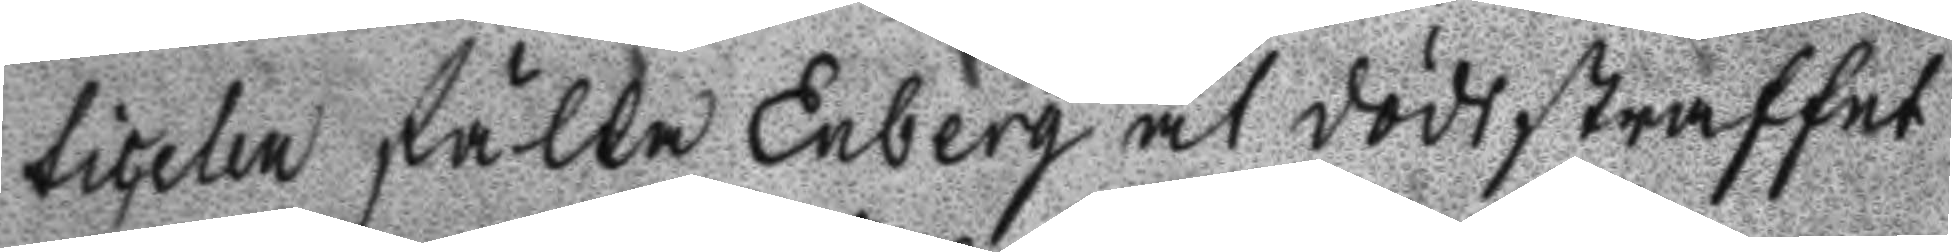ticelen fälla Enberg åt dödsstraffet
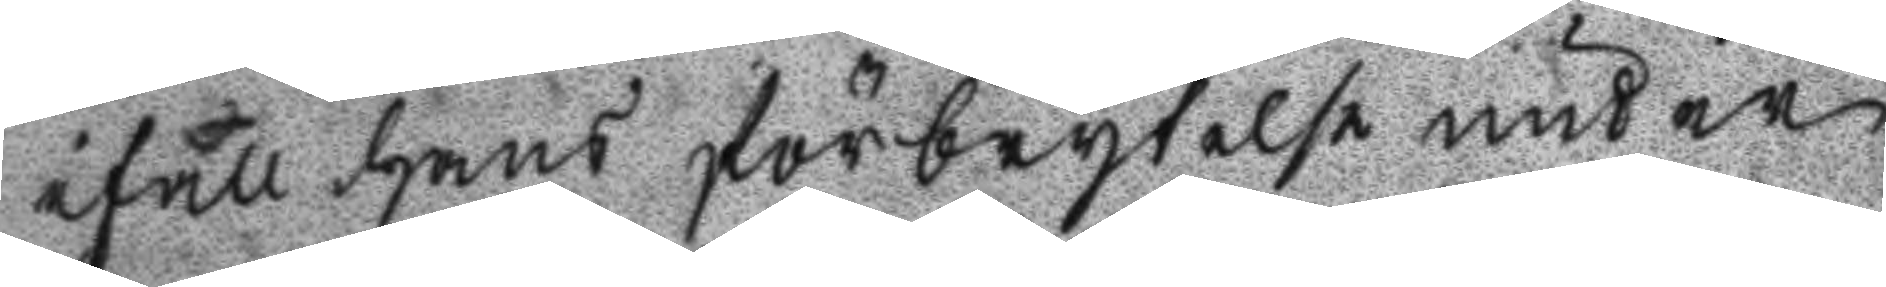ifall hans förbrytelse under
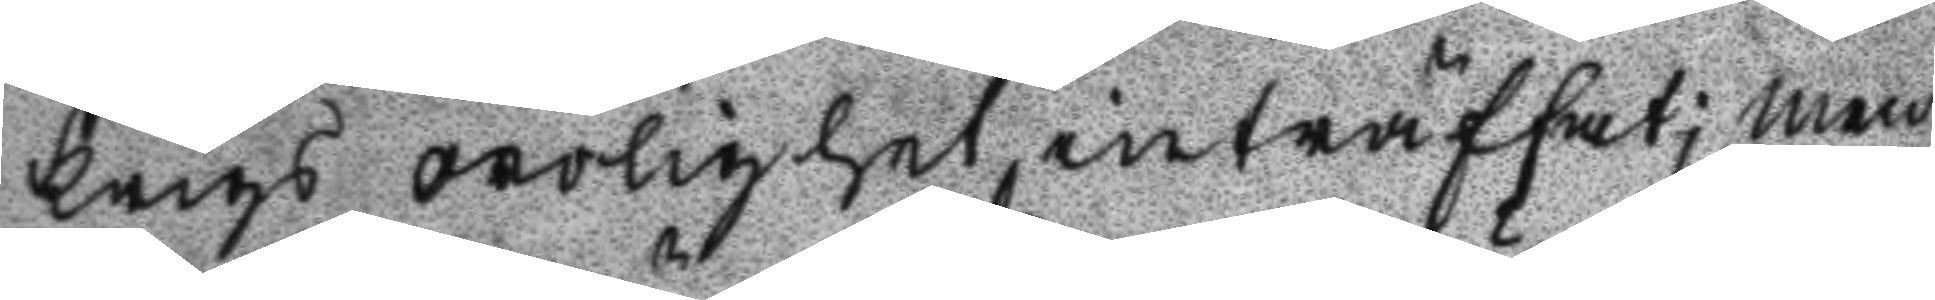Krigs orolighet inträffat; men
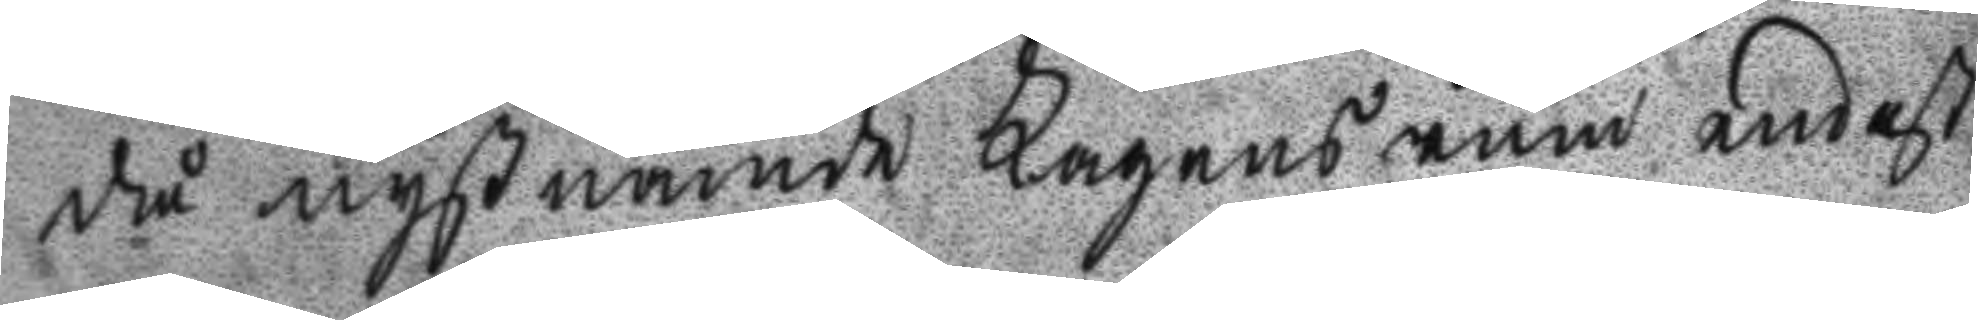då nyßnämde Lagens rum endast
